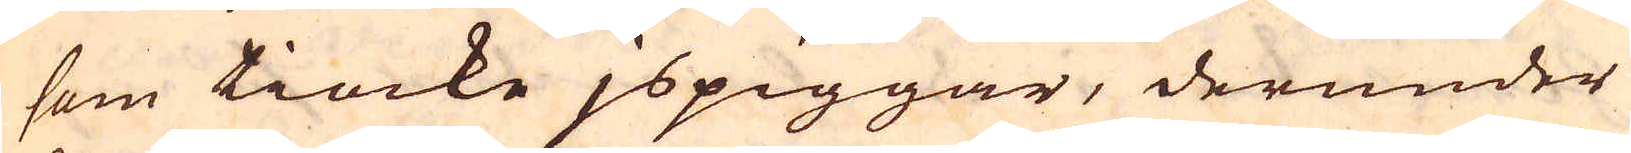som tiocke jspiggar, derunder
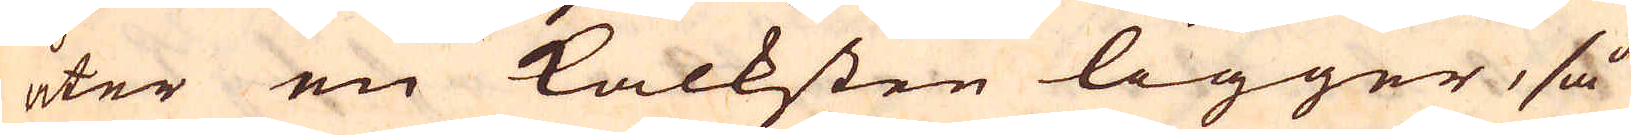åter en kalksten ligger, så
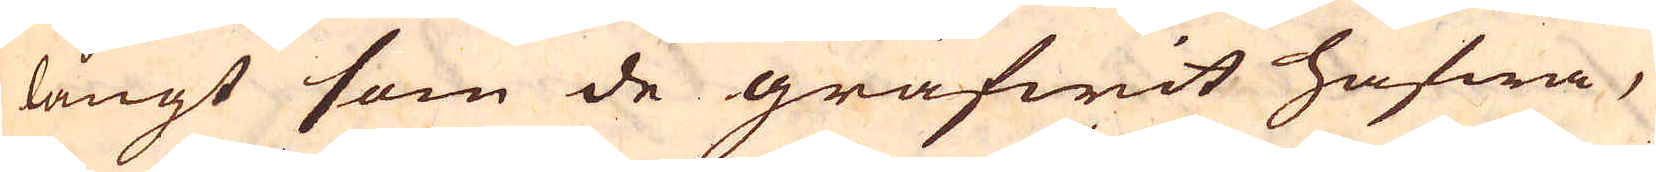långt som de gräfwit hafwa,
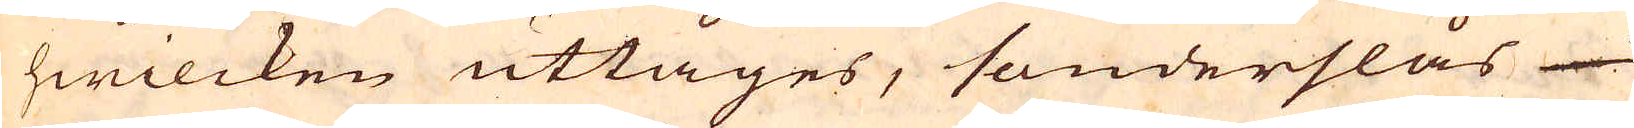hwilcken uttages, sönderslås
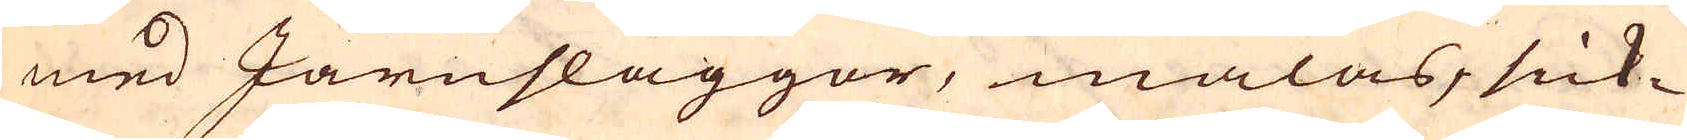med Järnsläggor, malas, sick-
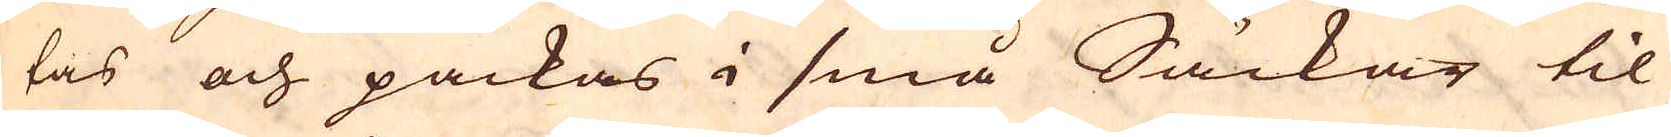tas och packas i små Säckar til
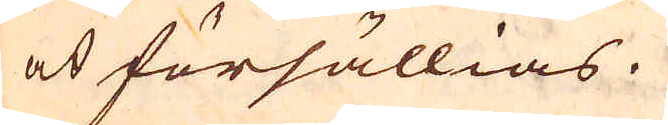at försällias.
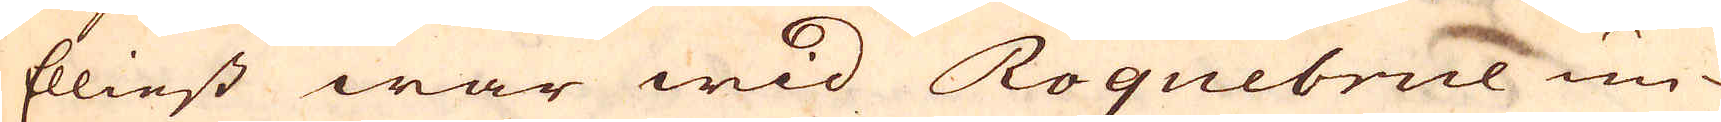Elliest war wid Roquebrue un-
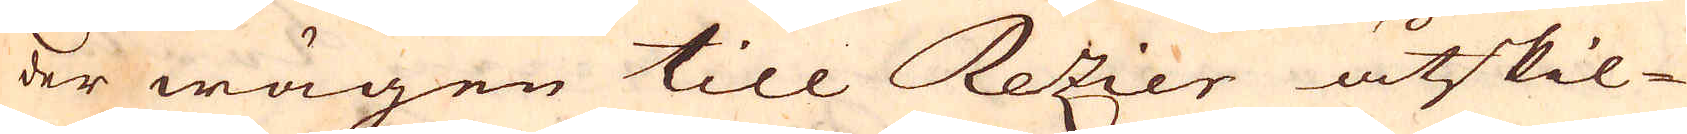der wägen till Rezier åtskil-
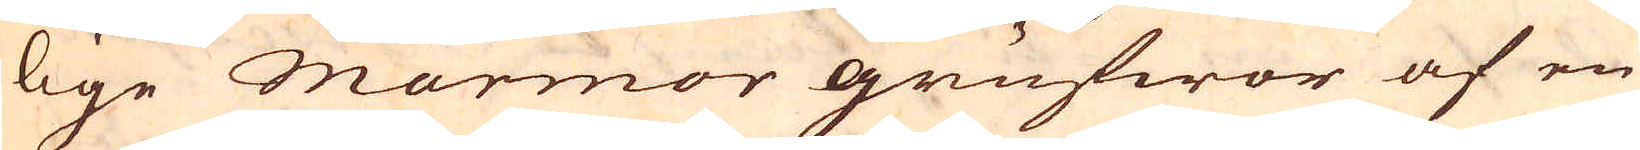lige Marmor grufwor af en
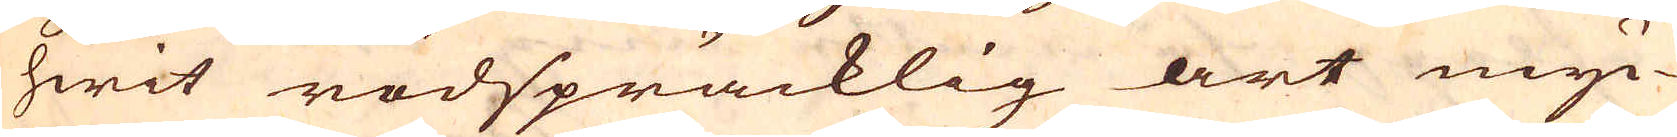hwit rödspräcklig art myc-
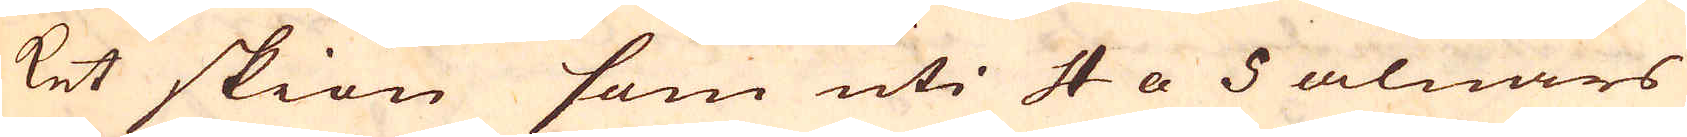ket skiön som uti 4 a 5 alnars
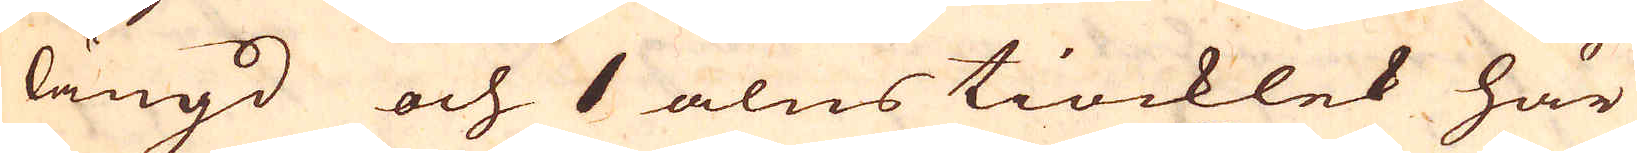längd och 1 alns tiocklek här
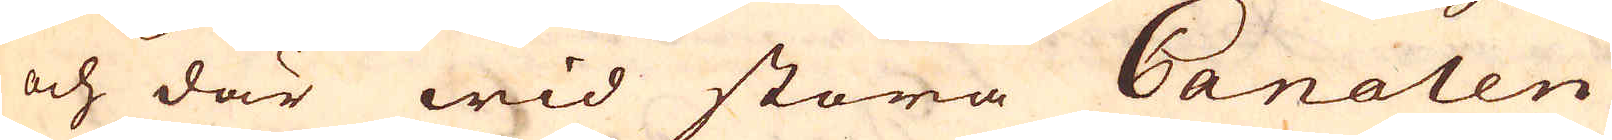och där wid stora Canalen
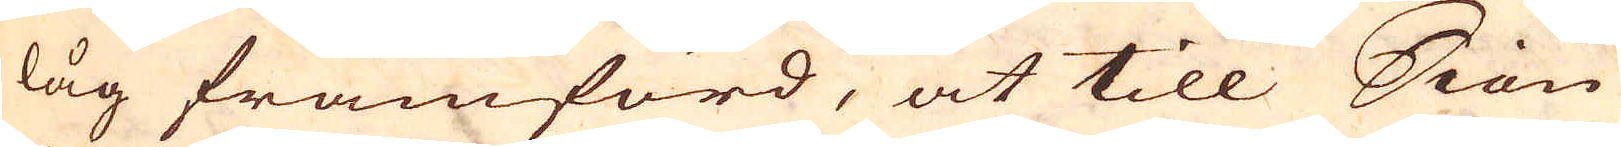låg framförd, at till Siön
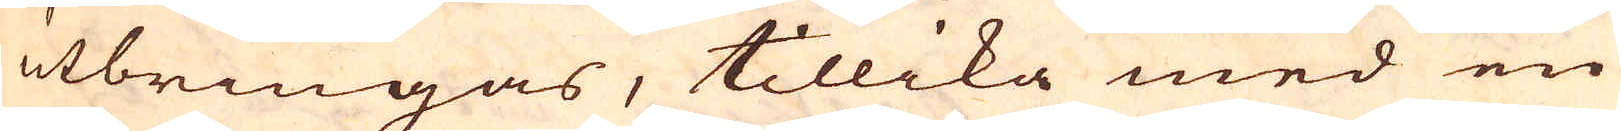utbringas, tillika med en
